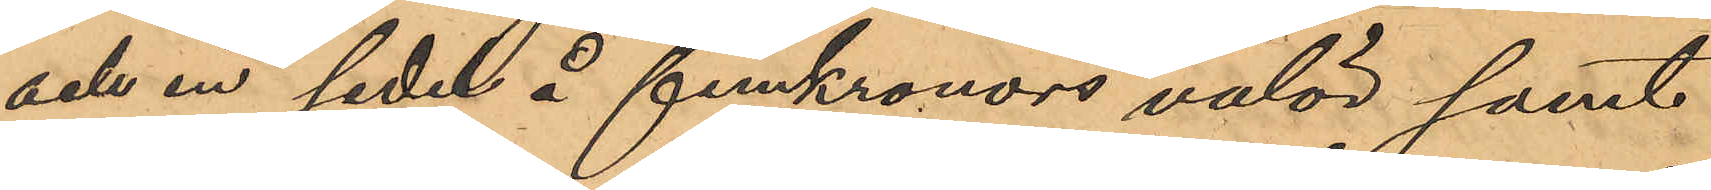och en sedel å femkronors valör samt
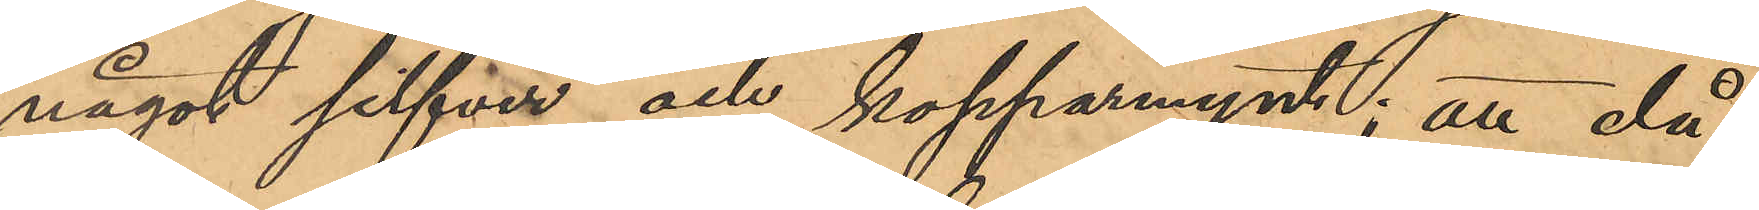något silfver och kopparmynt; att då
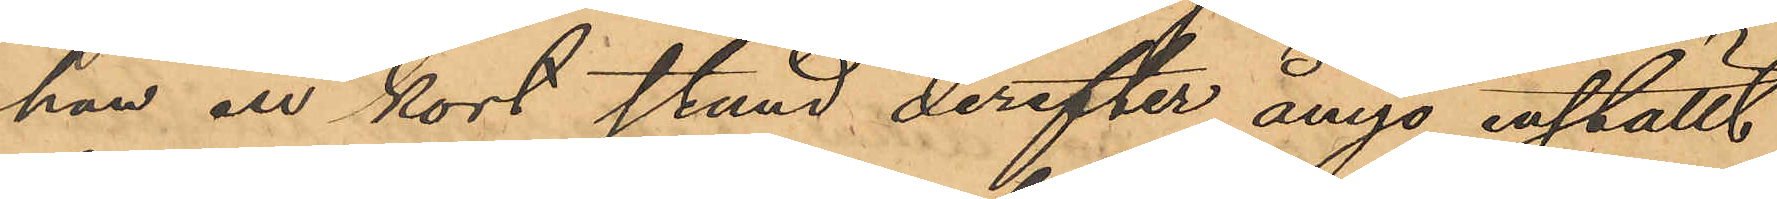han en kort stund derefter ånyo inställt
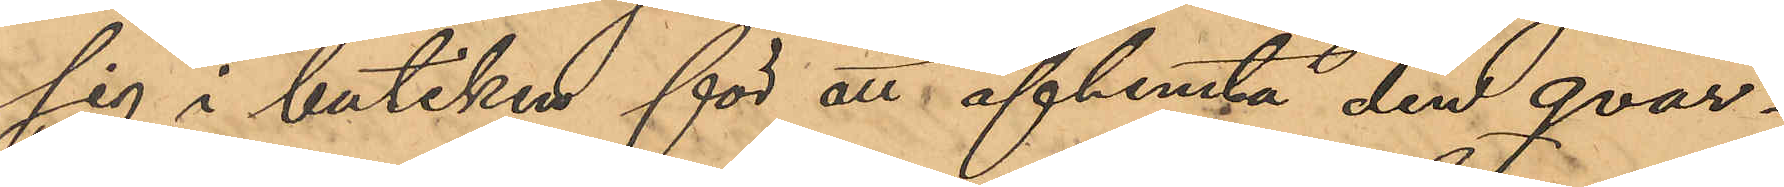sig i butiken för att afhemta den qvar¬
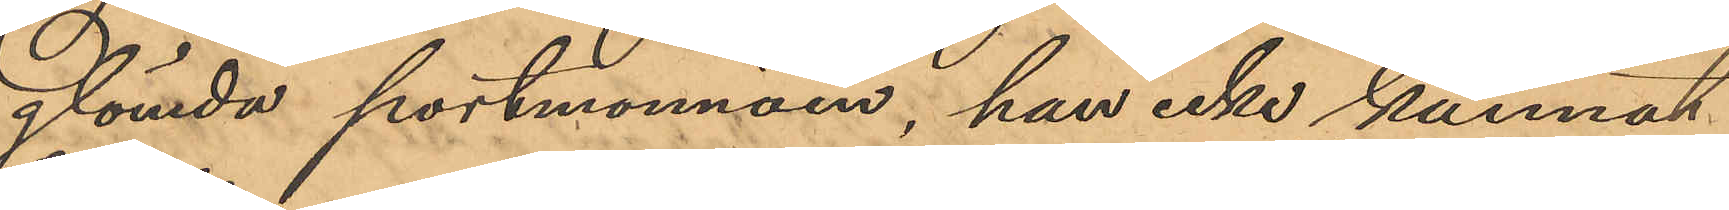glömda portmonnäen, han icke kunnat
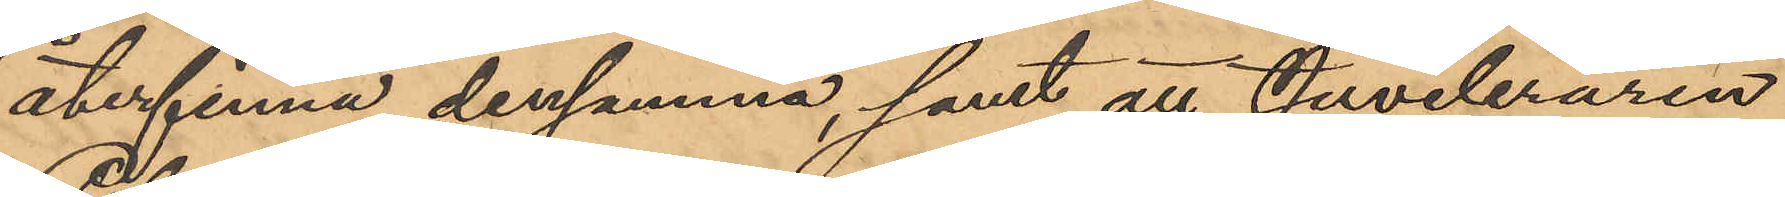återfinna densamma, samt att Juveleraren
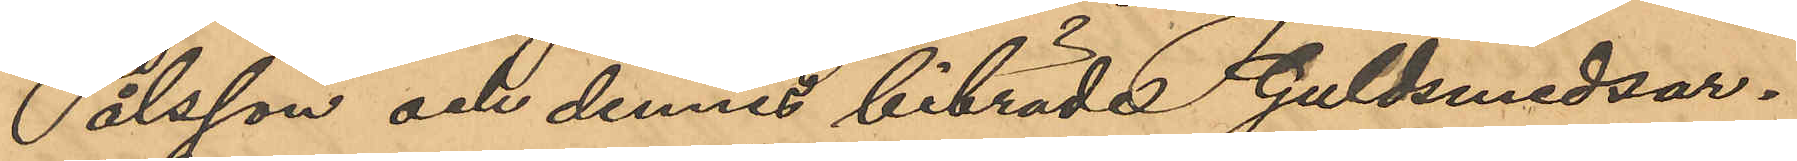Pålsson och dennes biträde Guldsmedsar¬
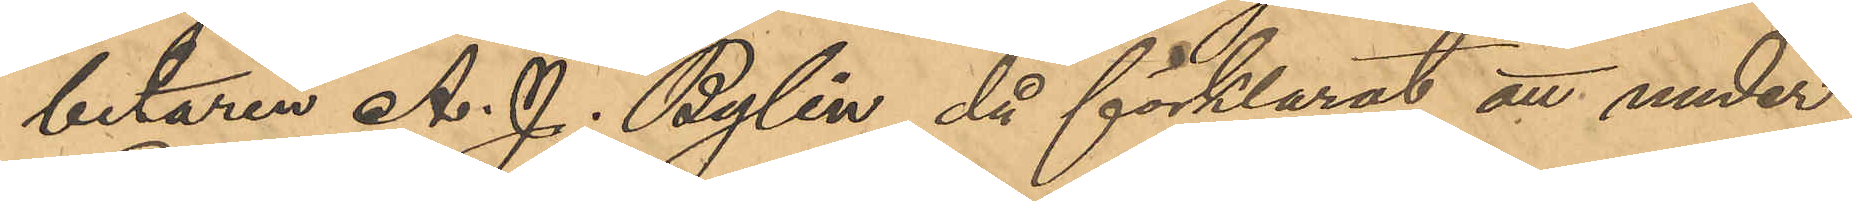betaren A. J. Bylin, då förklarat att under
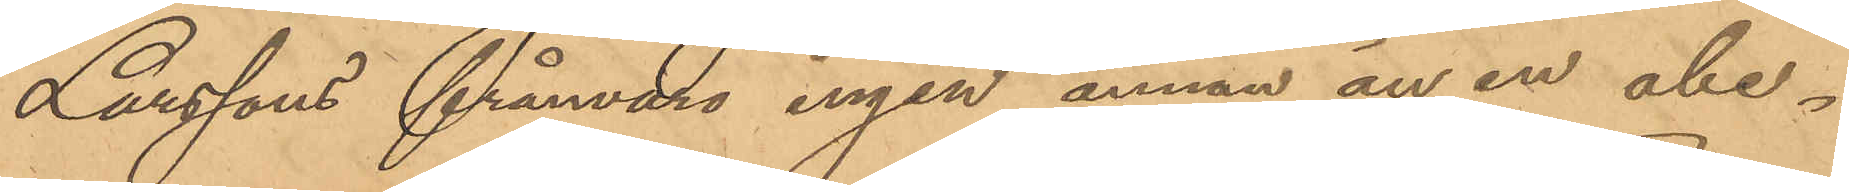Larssons frånvaro ingen annan än en obe¬
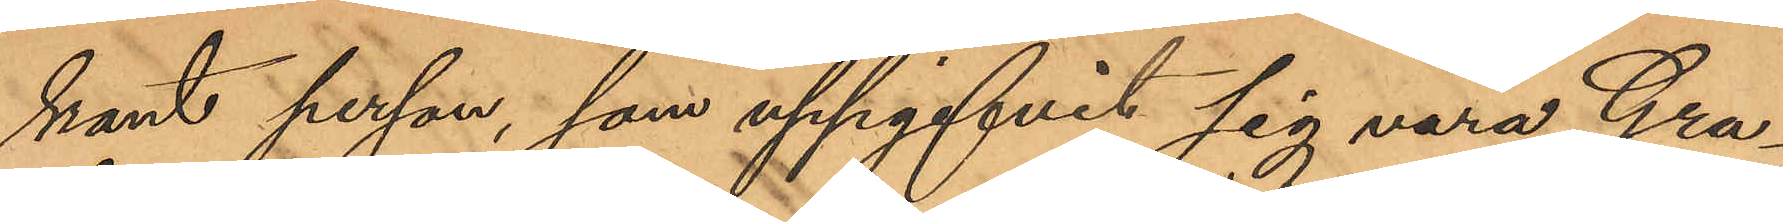kant person, som uppgifvit sig vara Gra¬
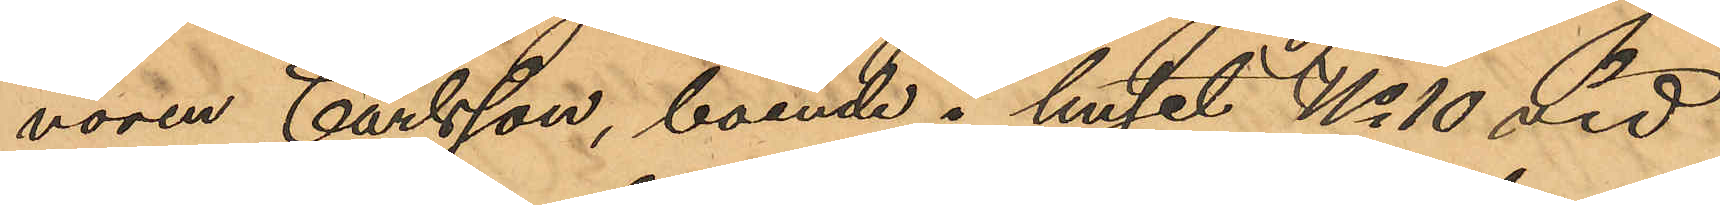vören Carlsson, boende i huset No 10 vid
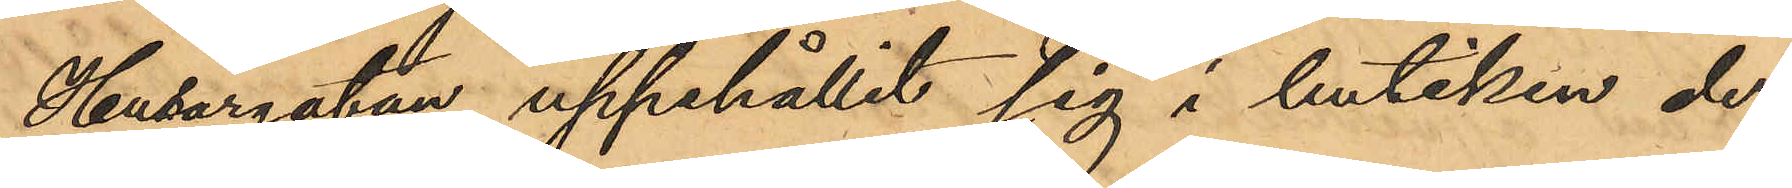Husargatan uppehållit sig i butiken der
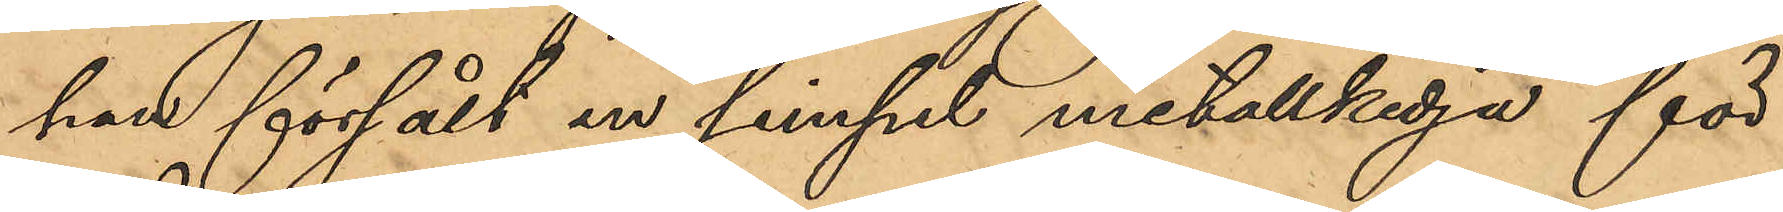han försålt en simpel metallkedja för
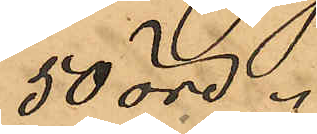50 öre.
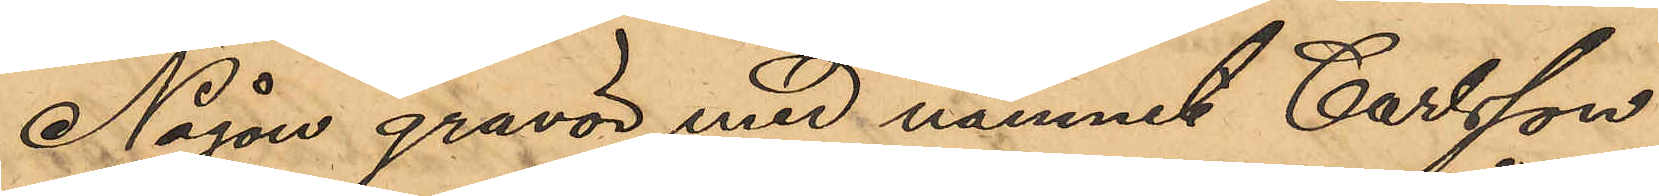Någon gravör med namnet Carlsson
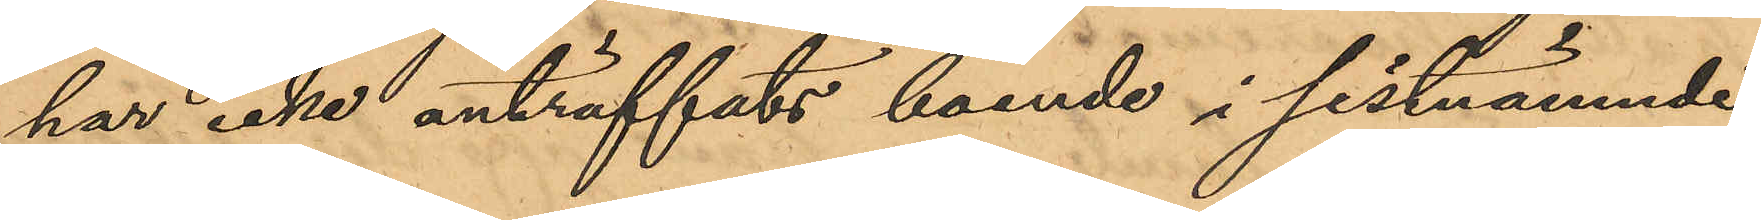har icke anträffats boende i sistnämnde
